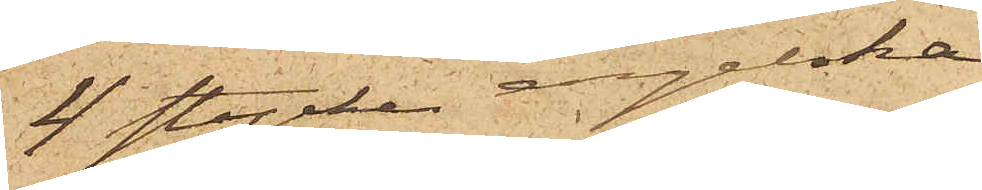4 stycken engelska
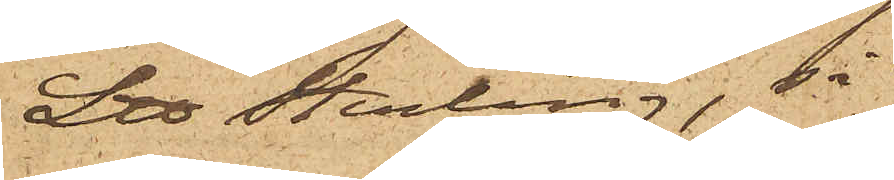L℔ Sterling, så
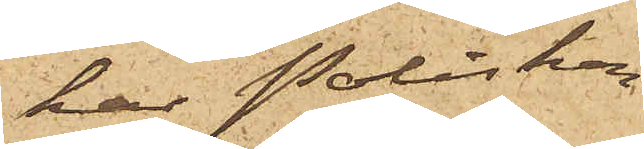har Poliskon¬
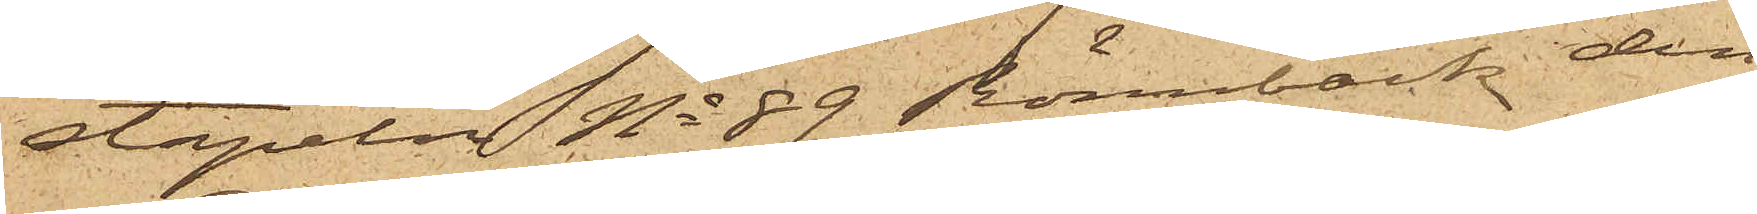stapeln No 89 Rönnbäck den
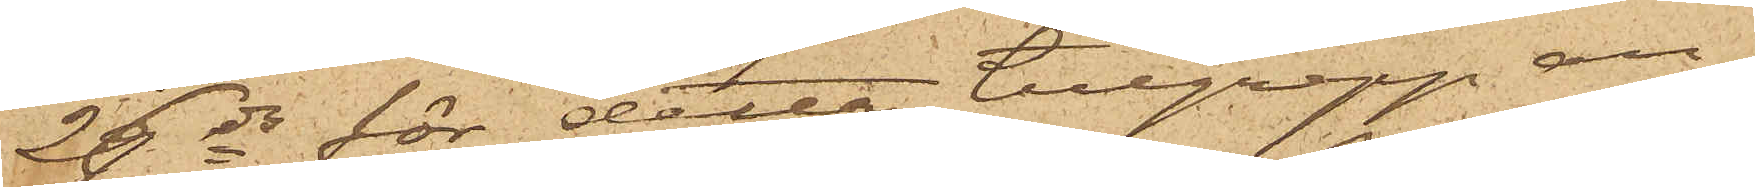26 ds för detta tillgrepp an¬
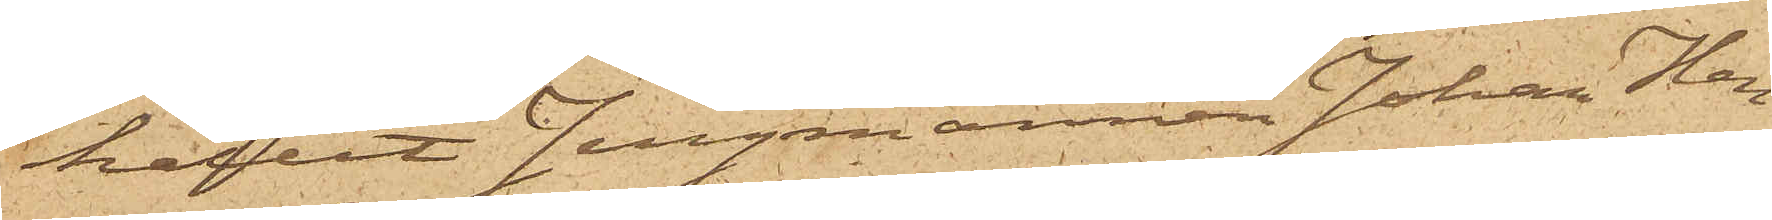hållit Jungmannen Johan Hen¬
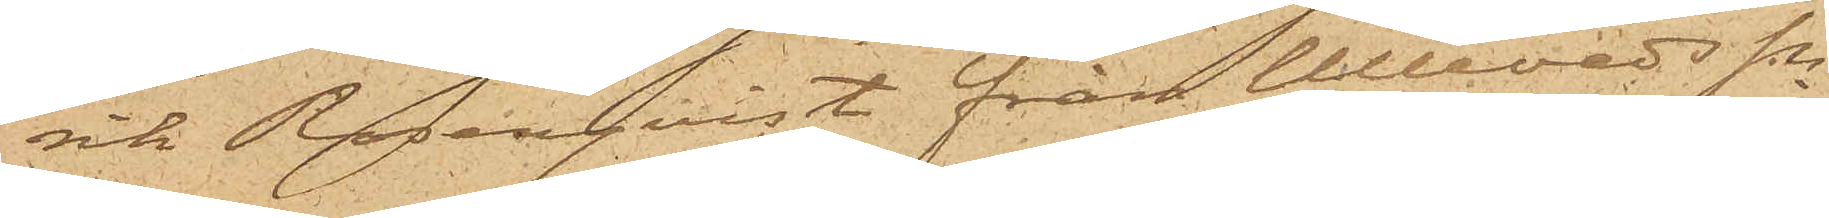rik Rosenqvist från Ullevads Sn
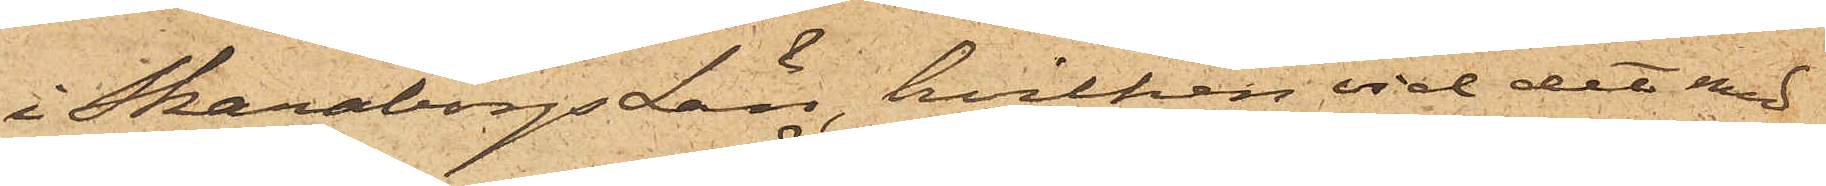i Skaraborgs län, hvilken vid det med
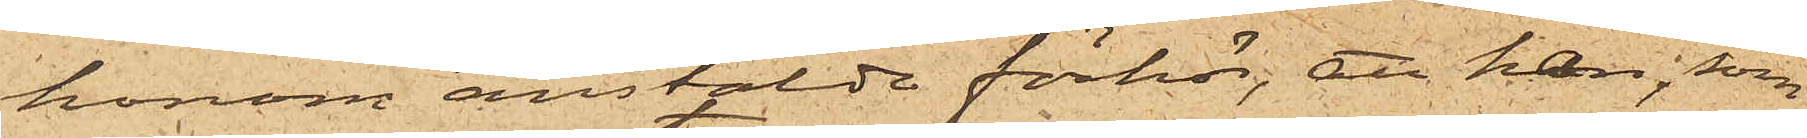honom anstälde förhör; att han, som
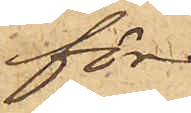för
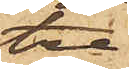tre
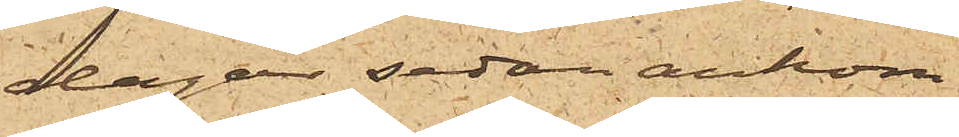dagar sedan ankom¬
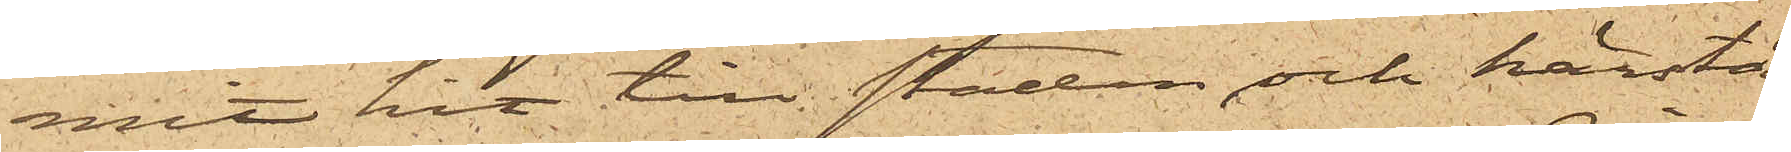mit hit till staden och härstä¬
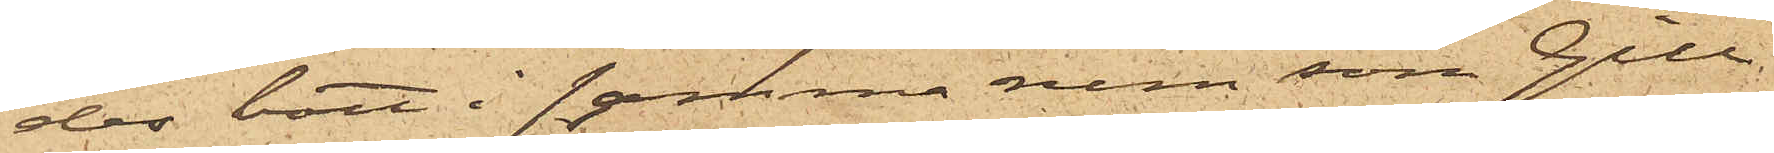des bott i samma rum som Gill¬
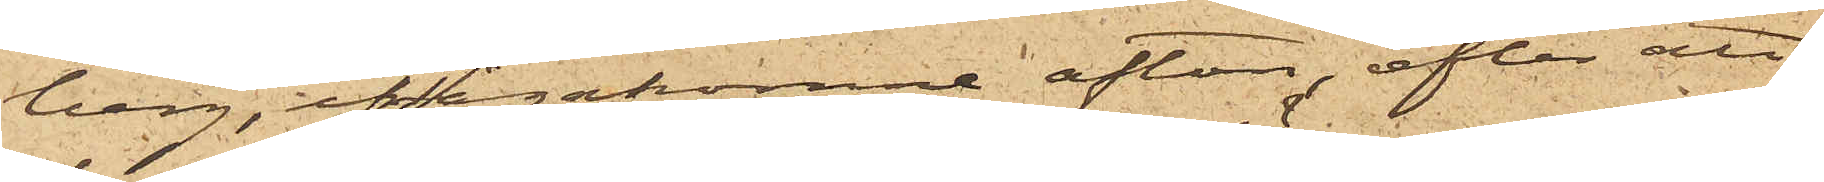berg, ifrågakomne afton, efter att
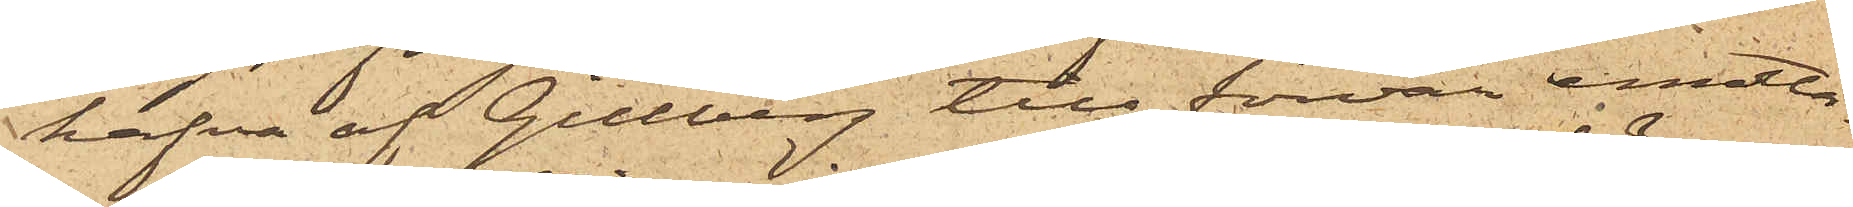hafva af Gillberg till förvar emotta¬
